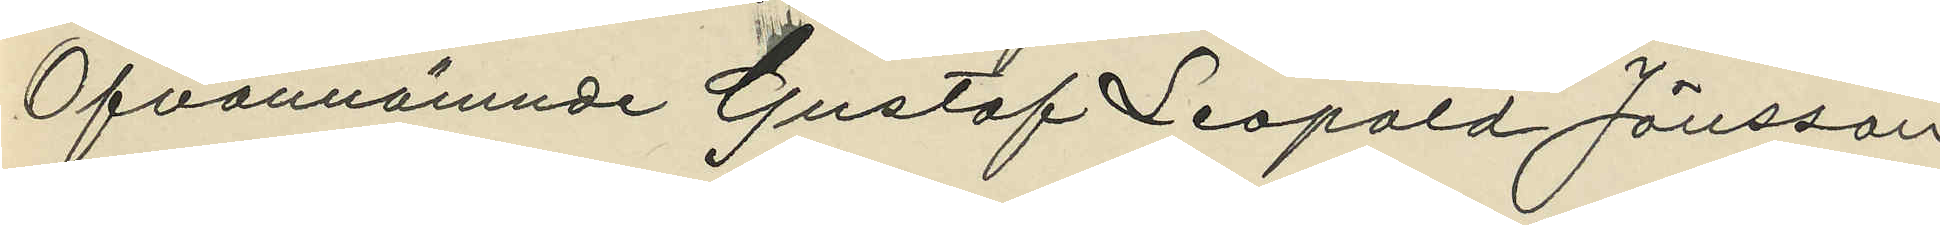Ofvannämnde Gustaf Leopold Jönsson
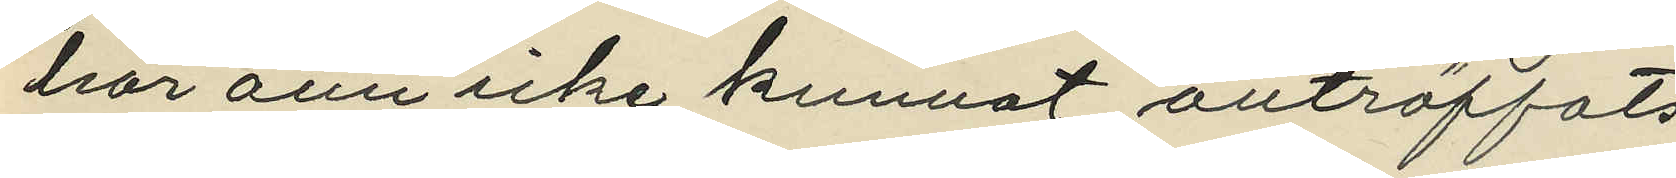har änu icke kunnat anträffats.
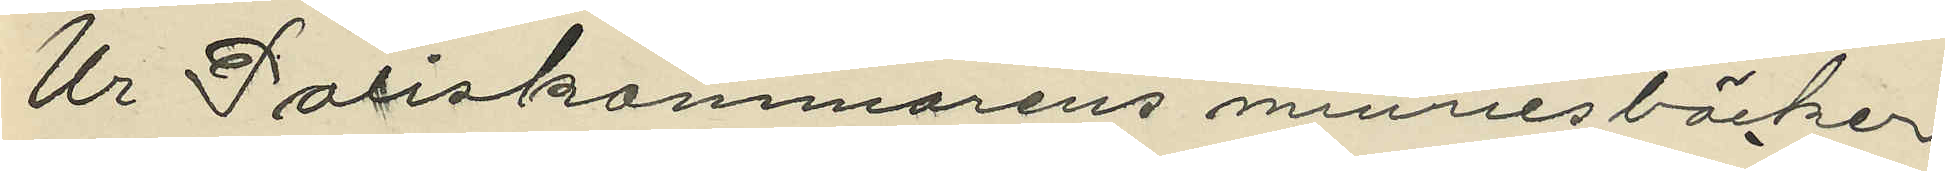Ur Poliskammarens minnesböcker
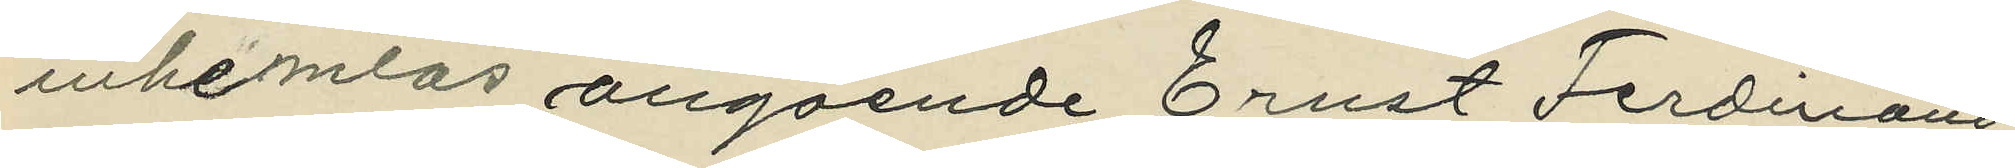inhemtas angående Ernst Ferdinand
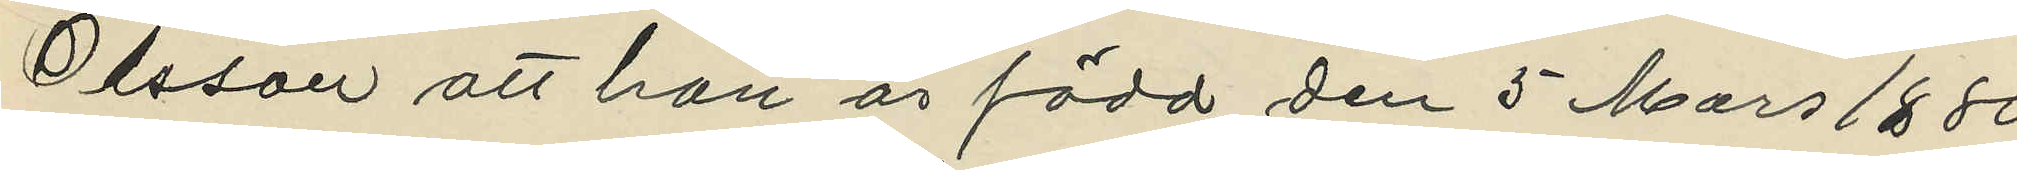Olsson att han är född den 5 Mars 1880
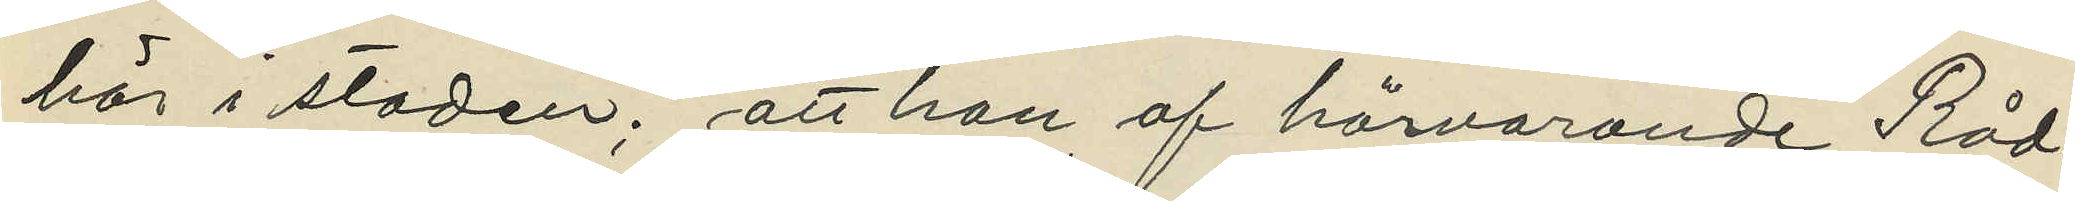här i staden; att han af härvarande Råd¬
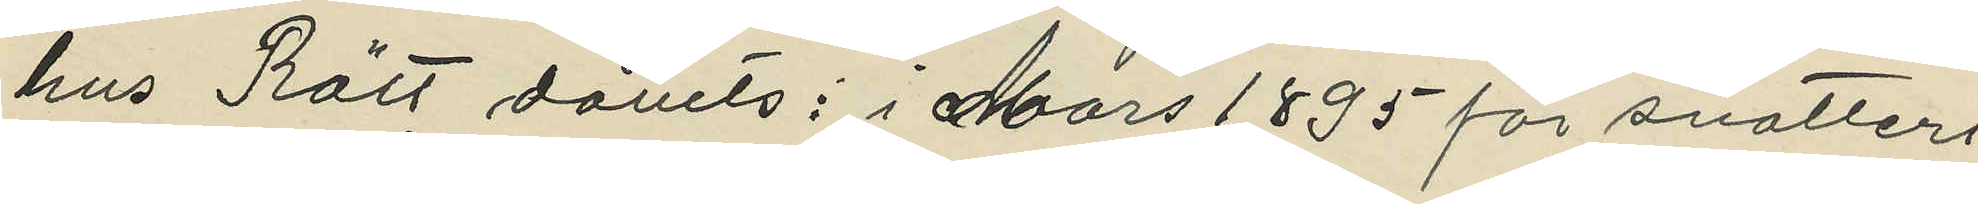hus Rätt dömts: i Mars 1895 för snatteri
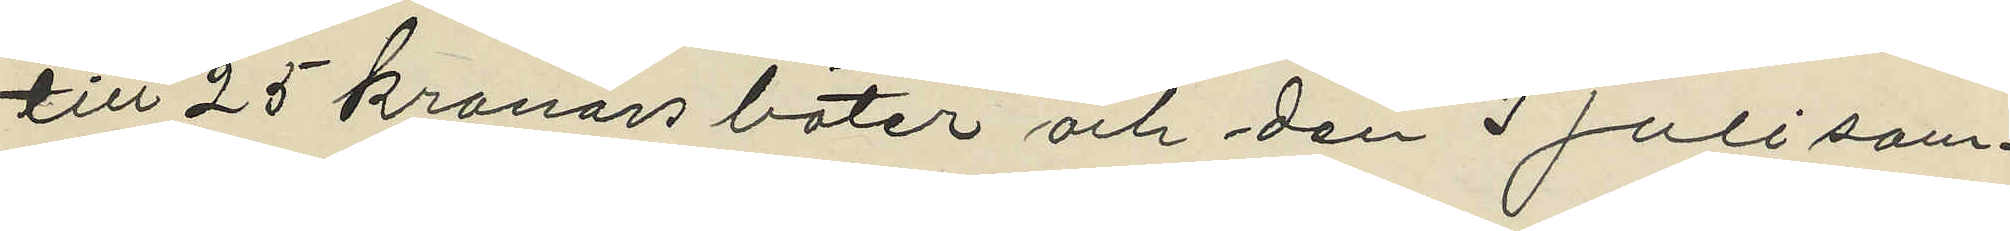till 25 kronors böter och den 3 Juli sam¬
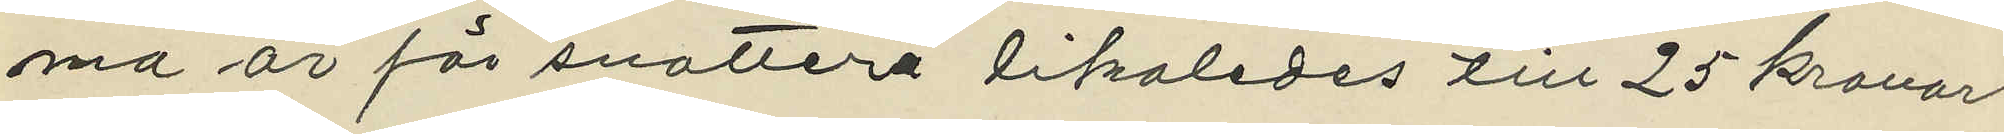ma är för snatteri likaledes till 25 kronors
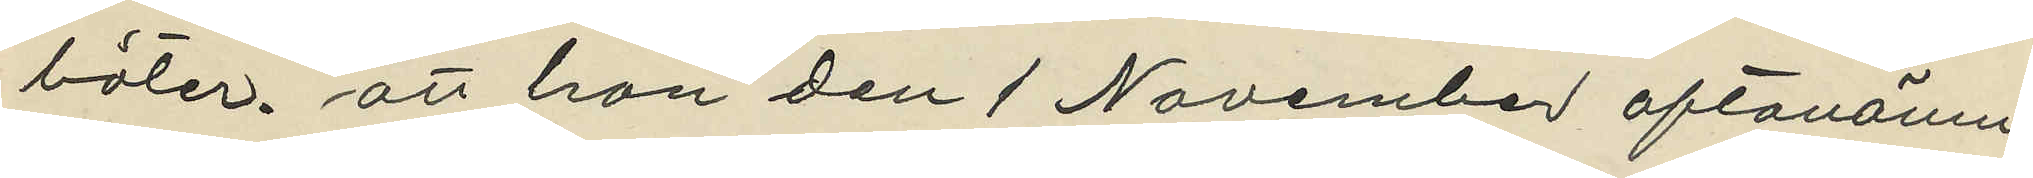böter, att han den 1 November oftanämn¬
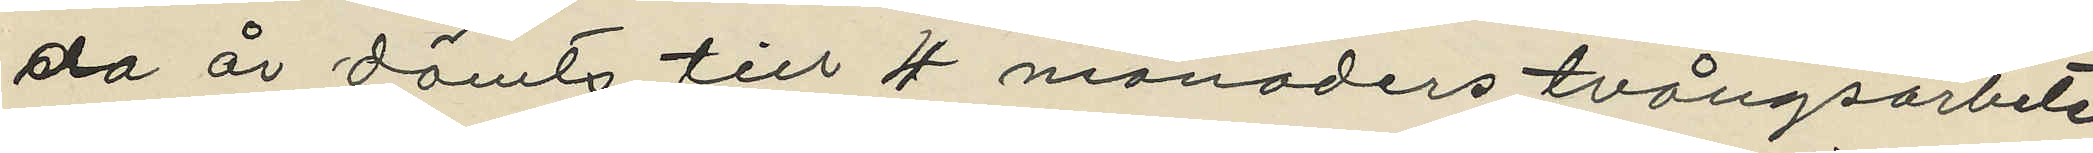da år dömts till 4 månaders tvångsarbete
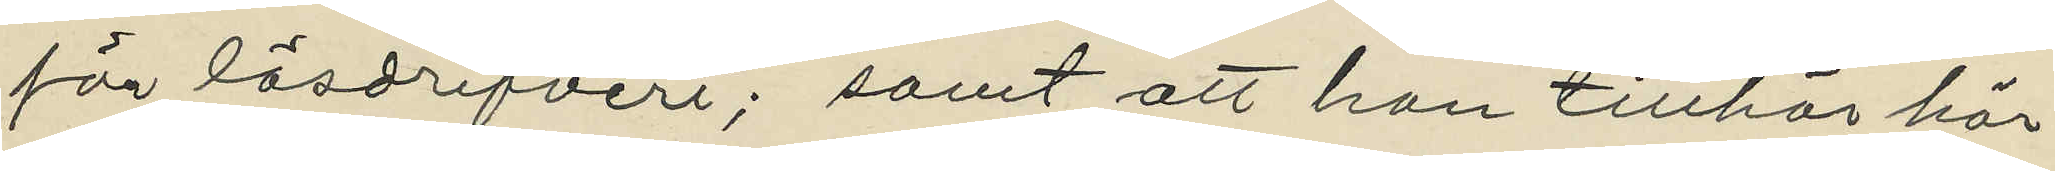för lösdrifveri; samt att han tillhör här¬
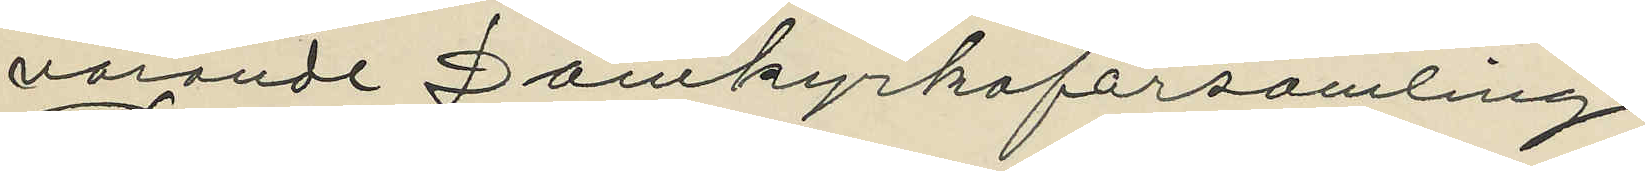varande Domkyrkoförsamling.
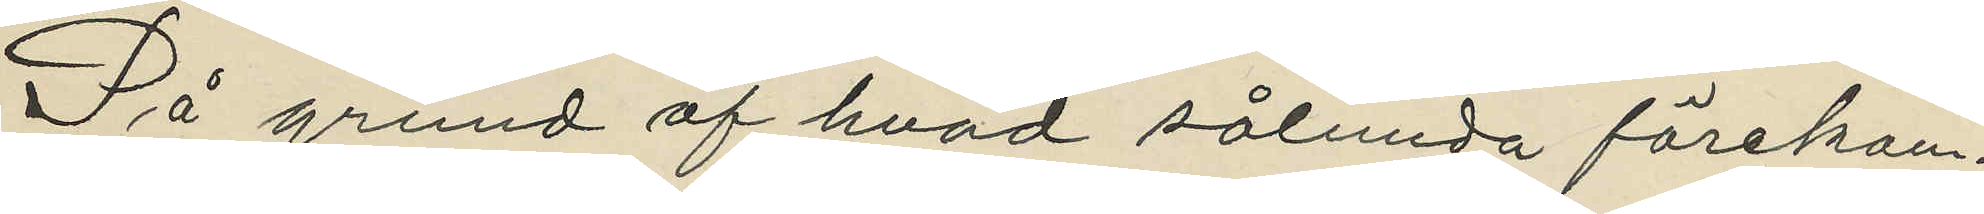På grund af hvad sålunda förekom¬
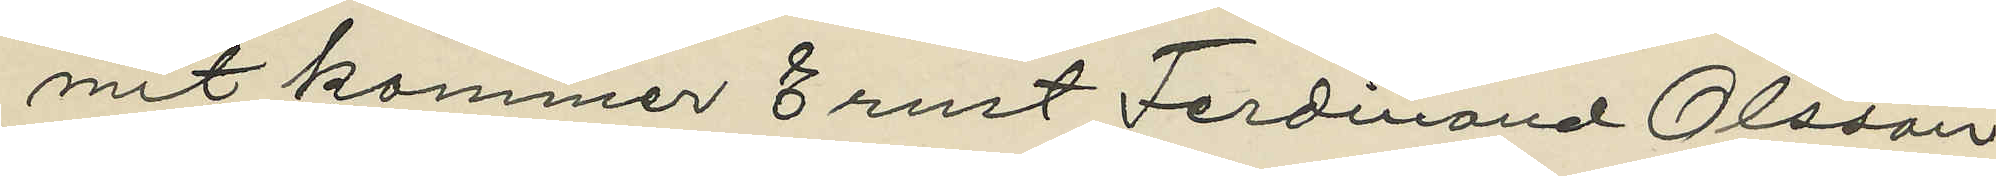mit kommer Ernst Ferdinand Olsson
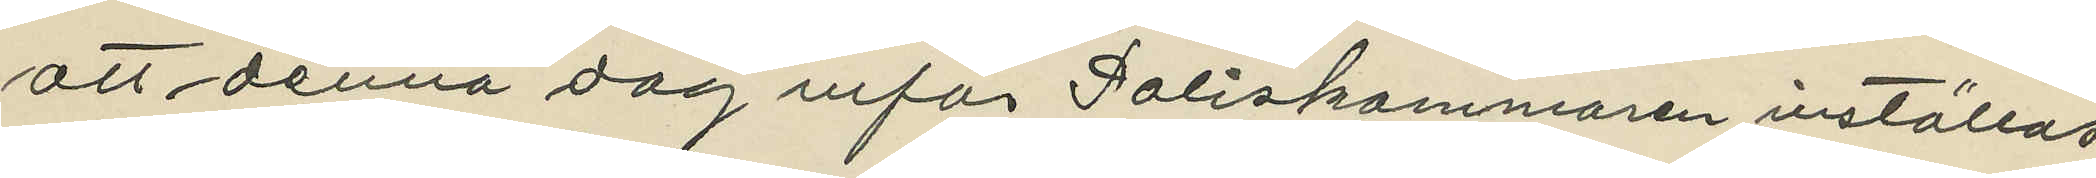att denna dag inför Poliskammaren inställas
